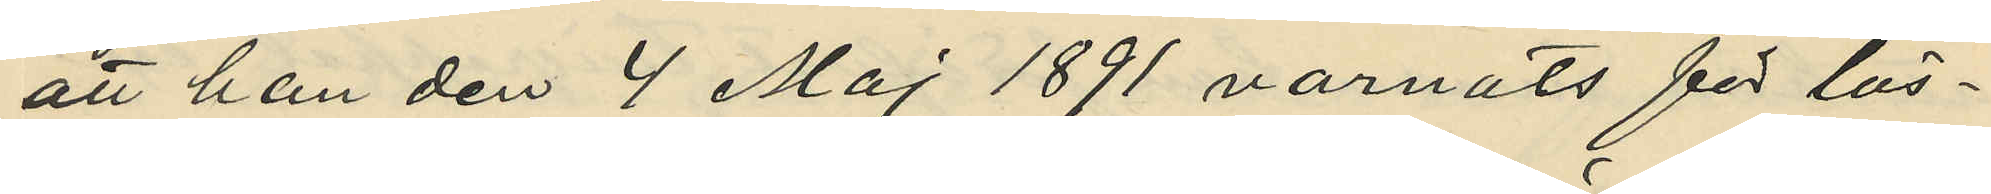att han den 4 Maj 1891 varnats för lös¬
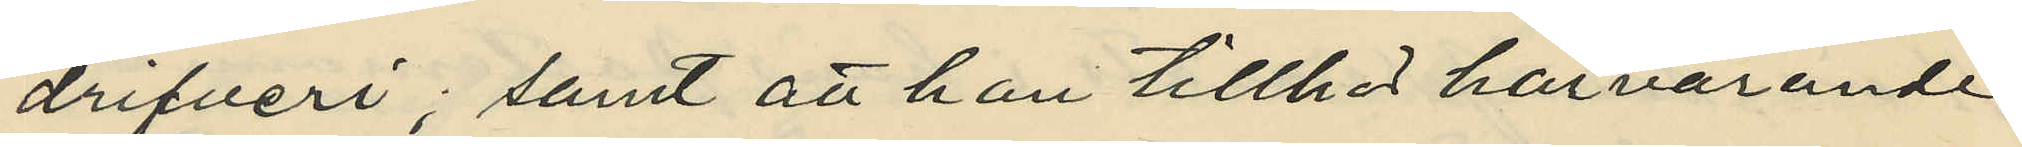drifveri; samt att han tillhör härvarande
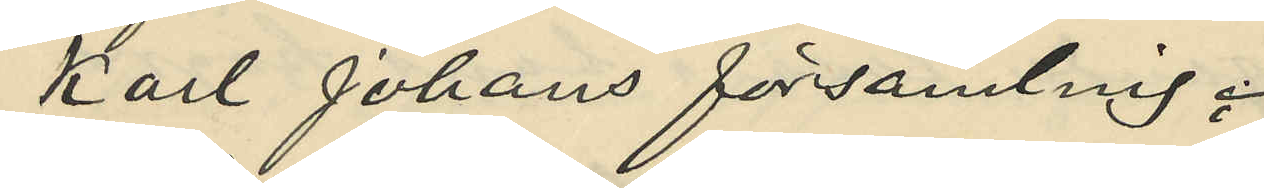Karl Johans församling;
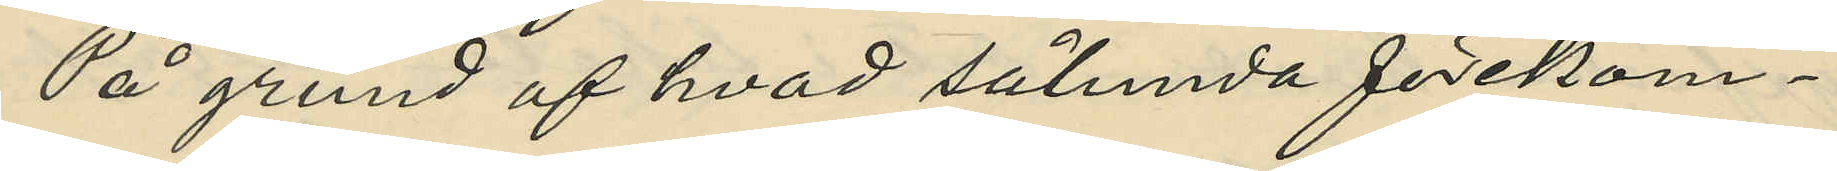På grund af hvad sålunda förekom¬
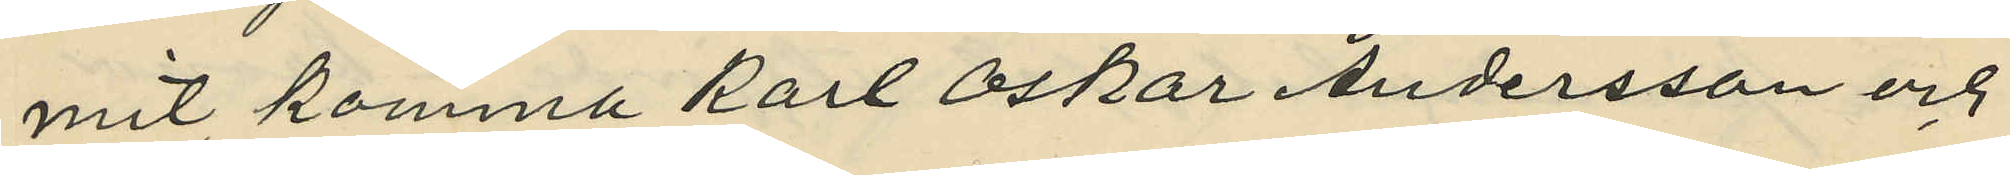mit, komma Karl Oskar Andersson och
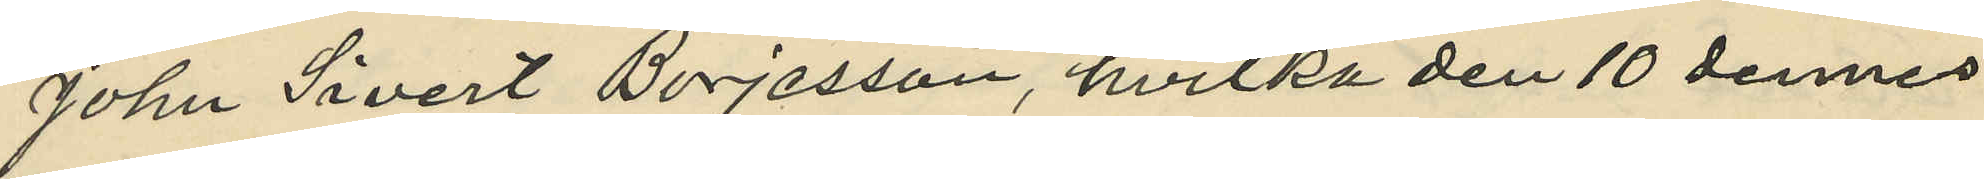John Sivert Börjesson, hvilka den 10 dennes
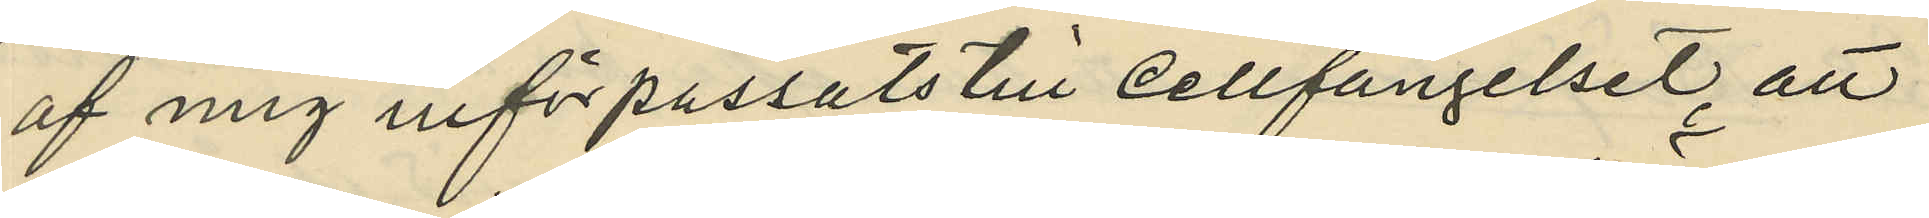af mig införpassats till cellfängelset, att
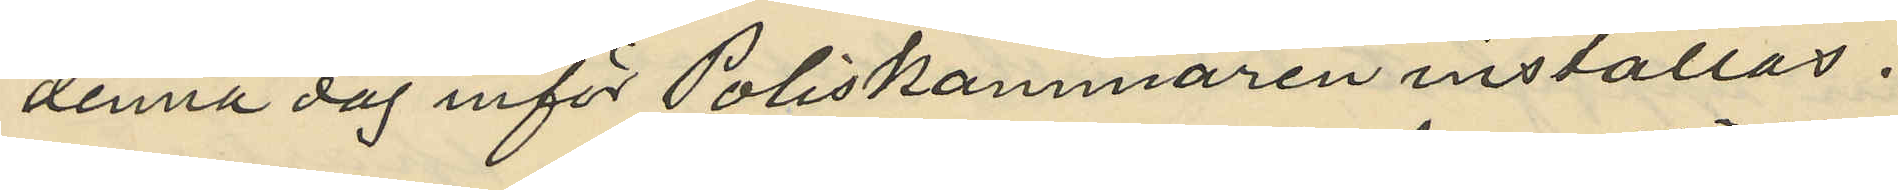denna dag inför Poliskammaren inställas.
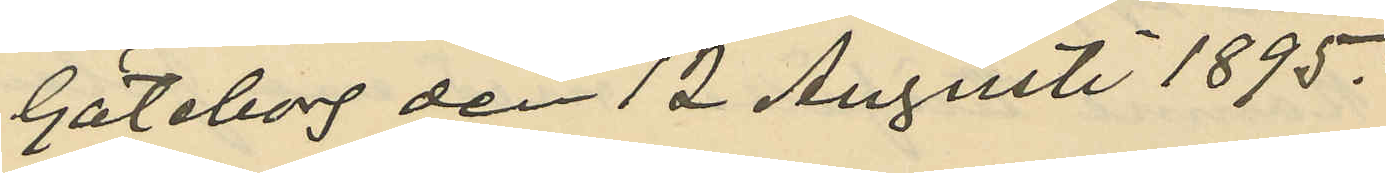Göteborg den 12 Augusti 1895.
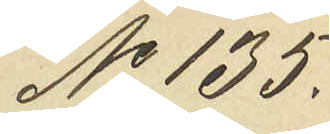No 135.
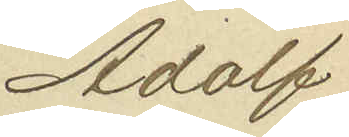Adolf
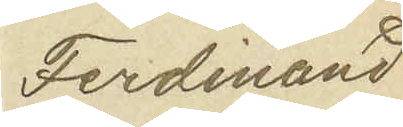Ferdinand
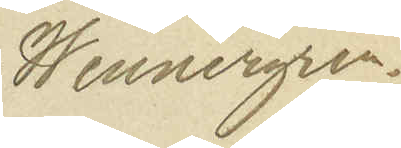Wennergren.
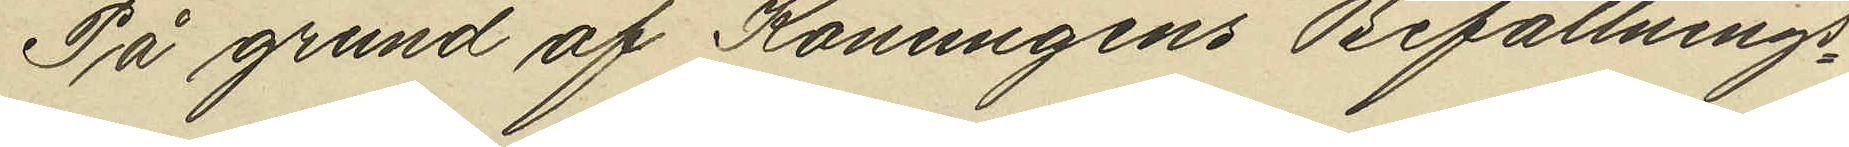På grund af Konungens Befallnings¬
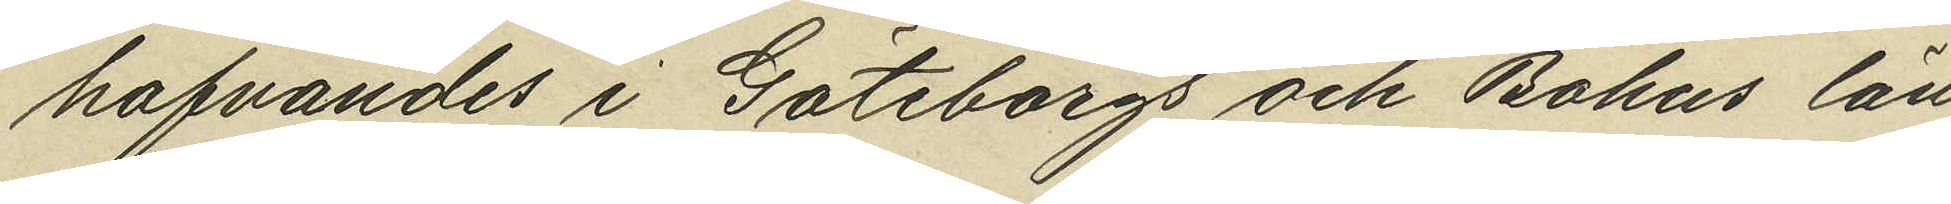hafvandes i Göteborgs och Bohus län
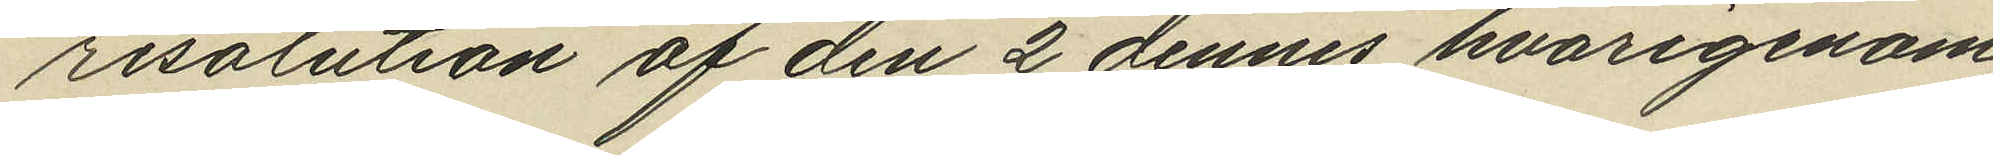resolution af den 2 dennes hvarigenom
